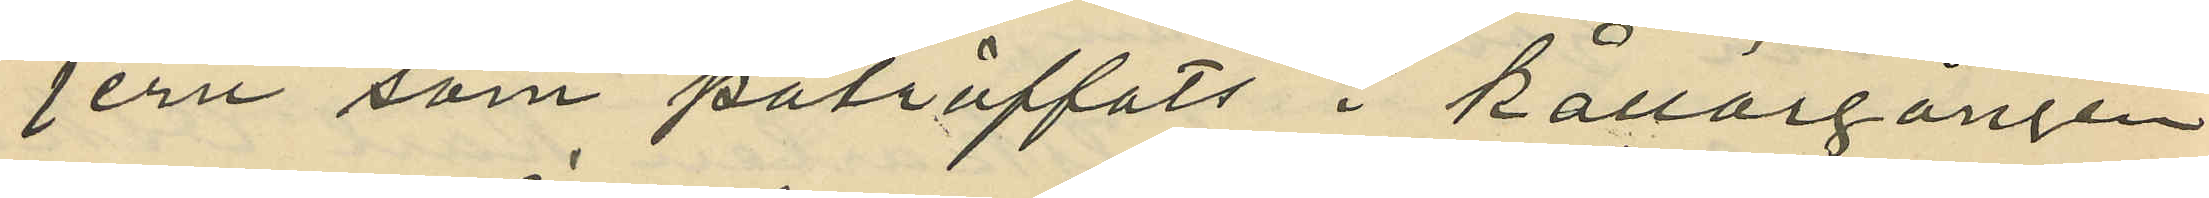jern som påträffats i Källargången
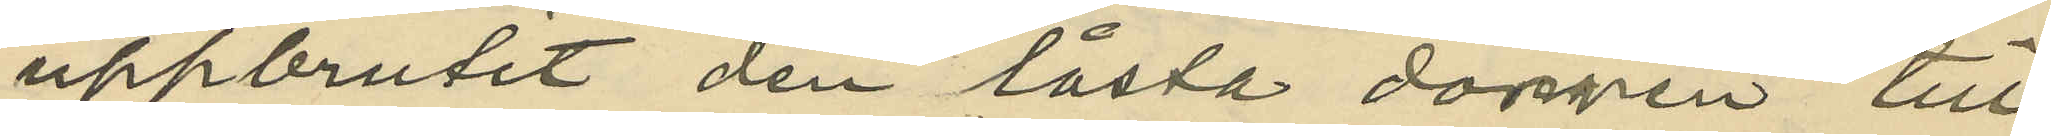uppbrutit den låsta dörren till
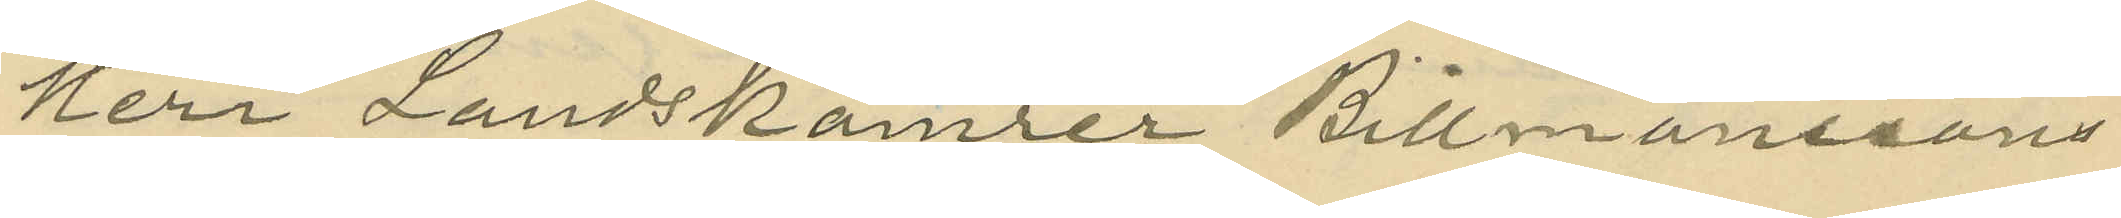Herr Landskamrer Billmanssons
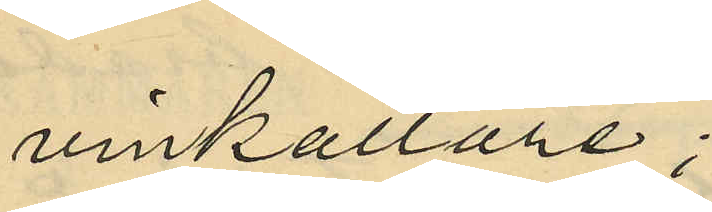vinkällare;
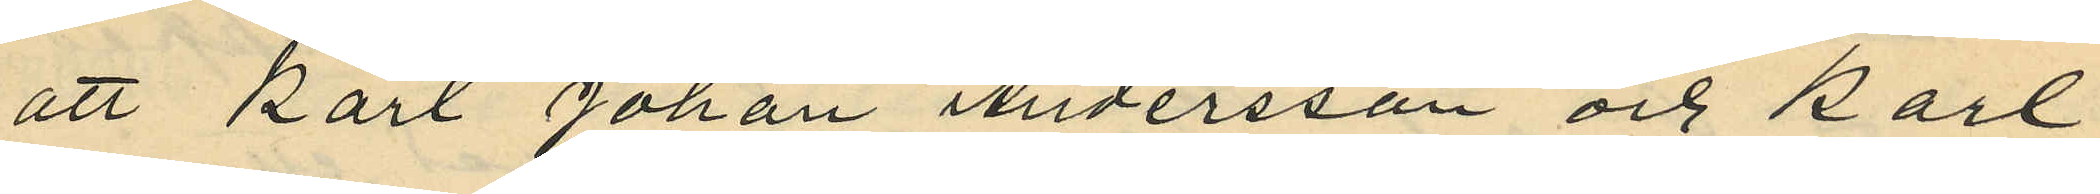att Karl Johan Andersson och Karl
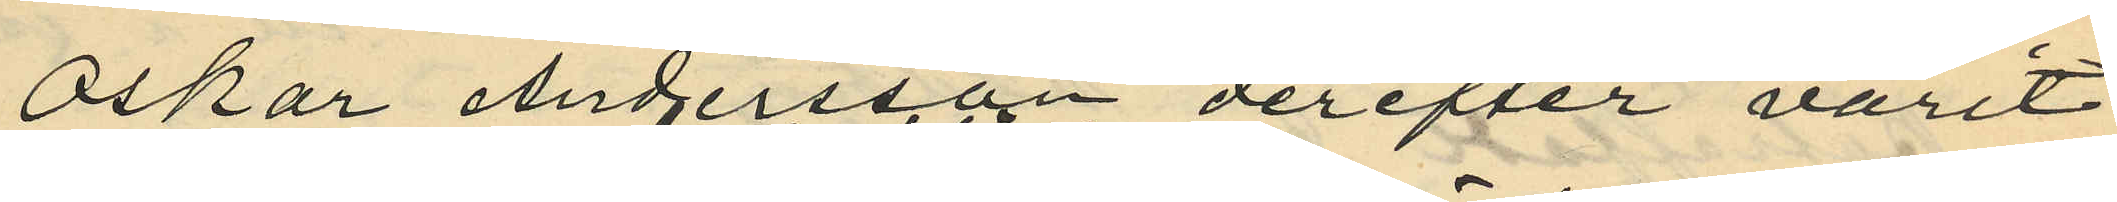Oskar Andersson derefter varit
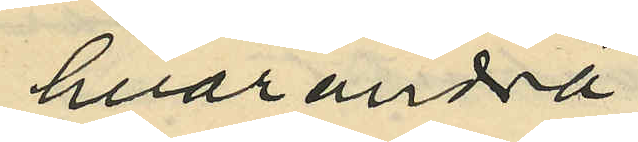hvarandra
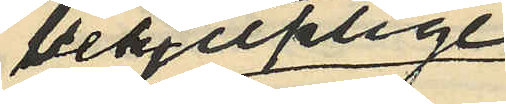behjelplige
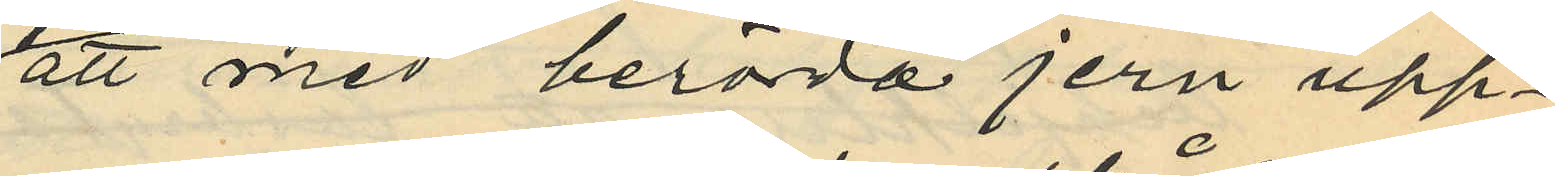att med berörda jern upp¬
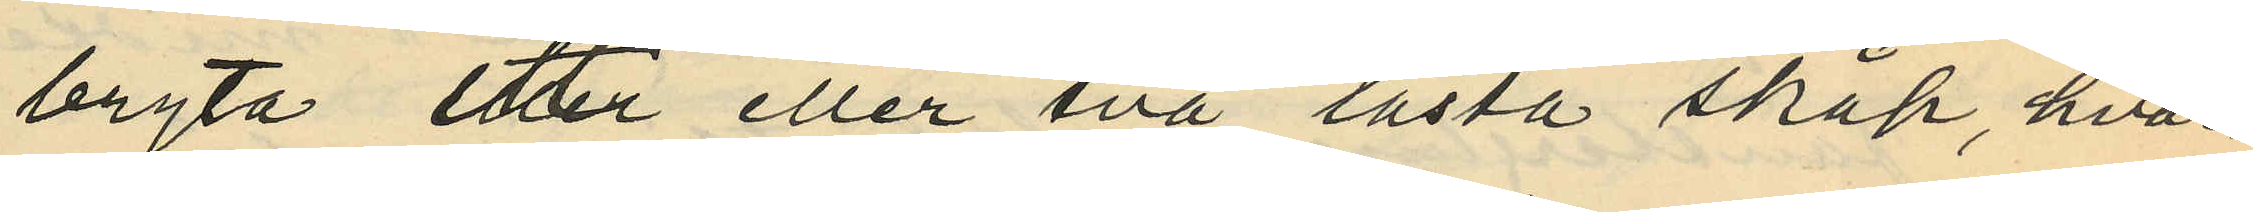bryta ett eller två låsta skåp, hvar¬
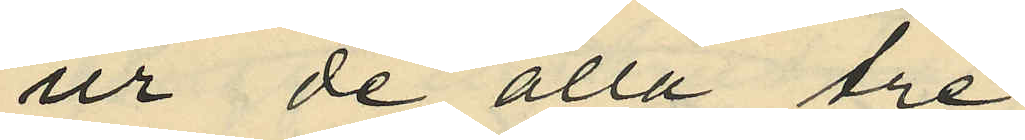ur de alla tre
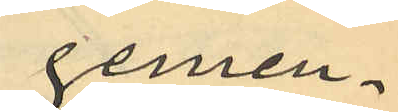gemen¬
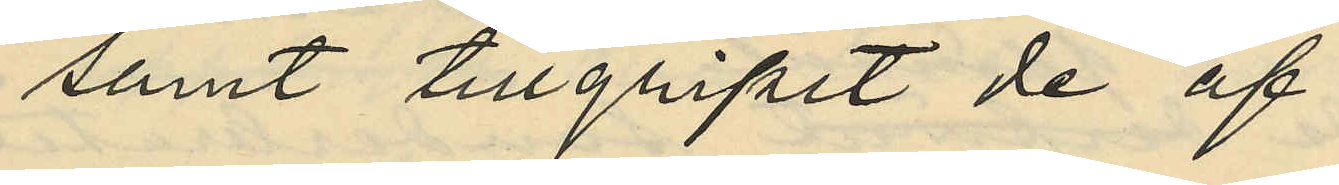samt tillgripit de af
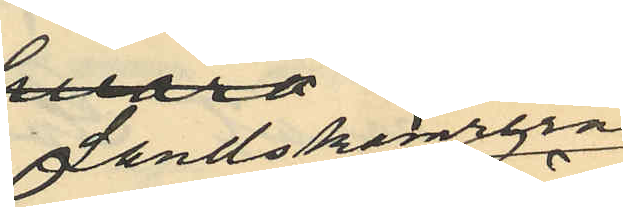Landskamrer
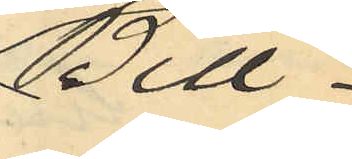Bill¬
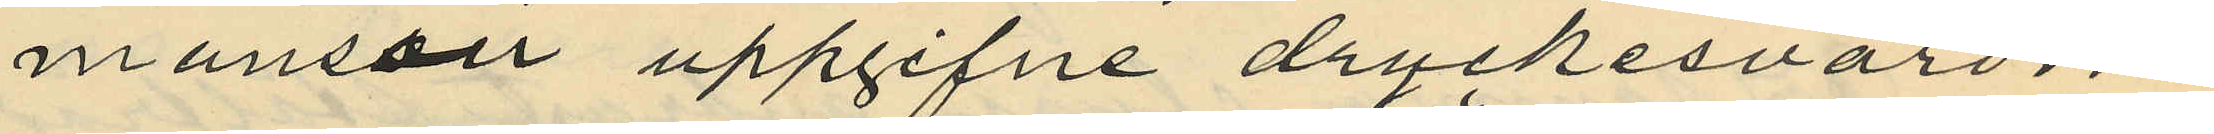manssan uppgifne dryckesvarorna
